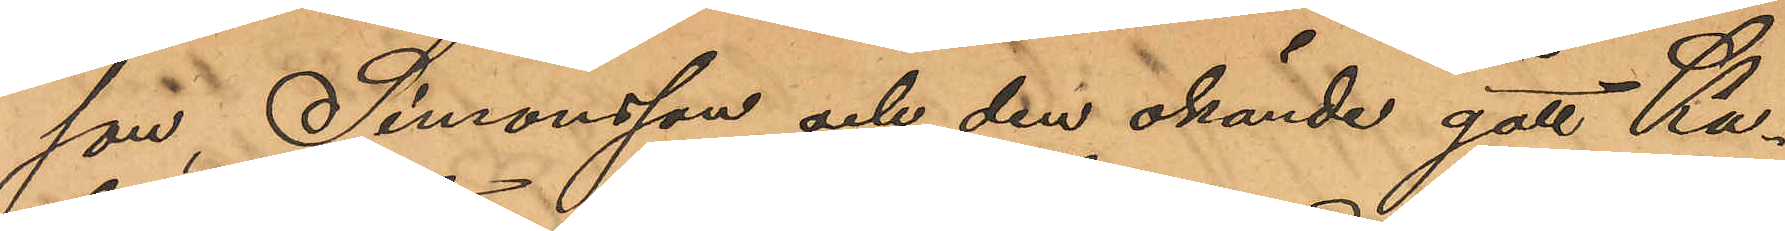son, Simonsson och den okände gått Ka¬
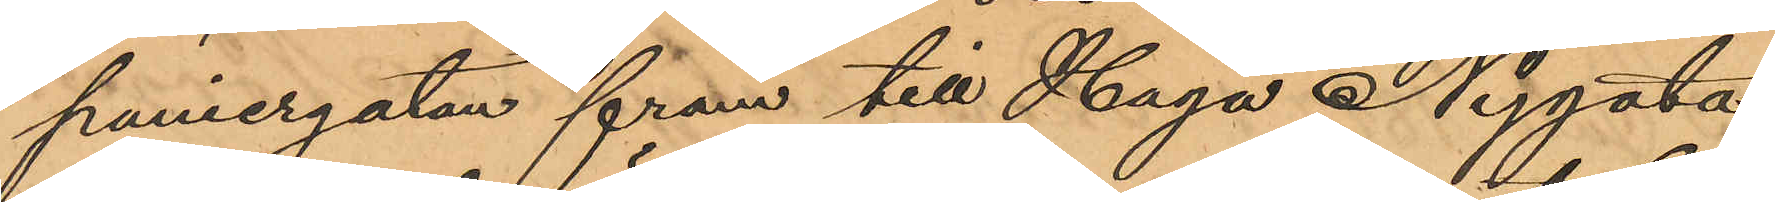puniergatan fram till Haga Nygata
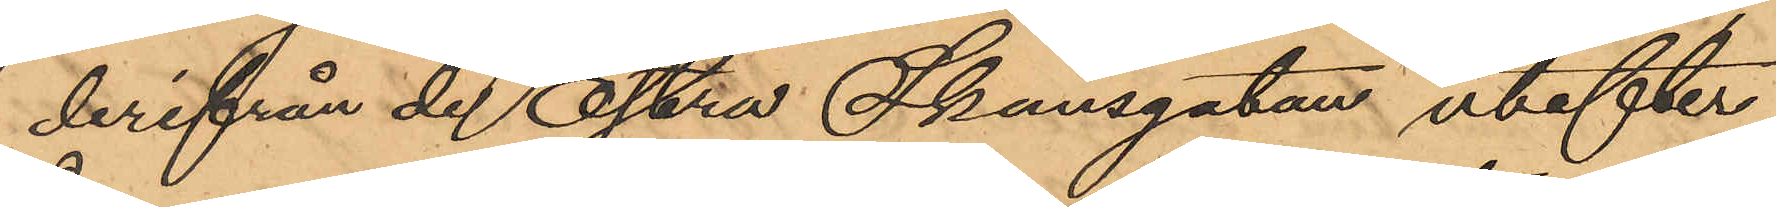derifrån de Östra Skansgatan utefter
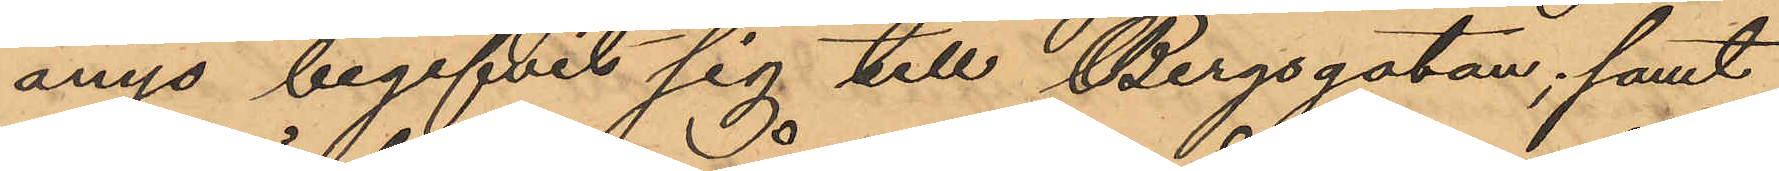ånyo begifvit sig till Bergsgatan; samt
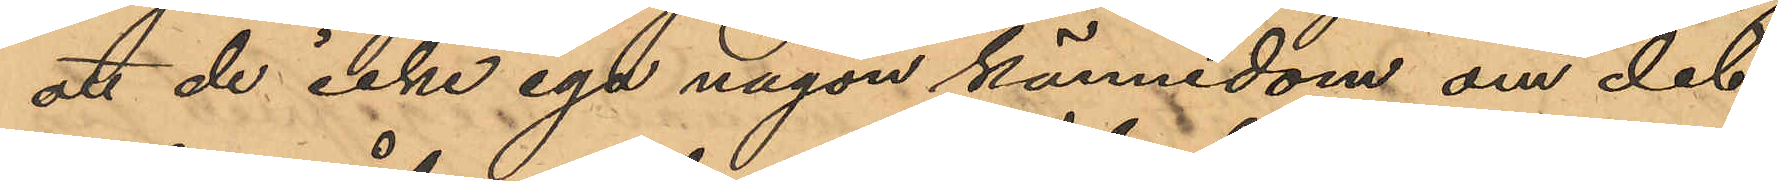att de icke ega någon kännedom om det
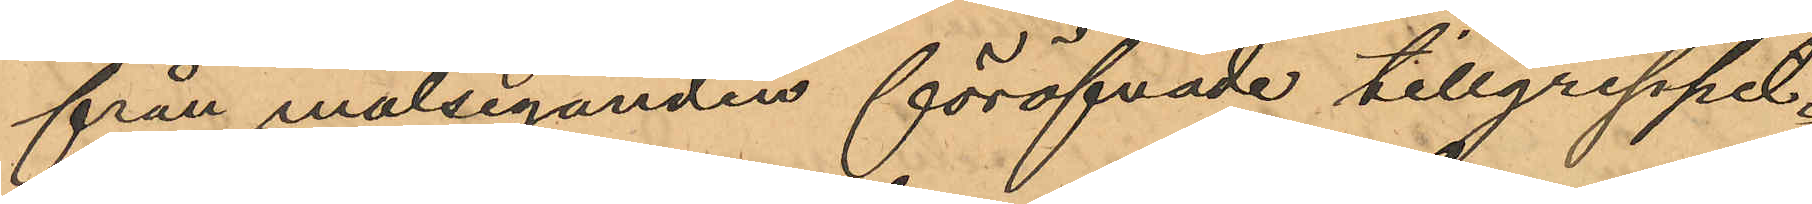från målseganden föröfvade tillgreppet.
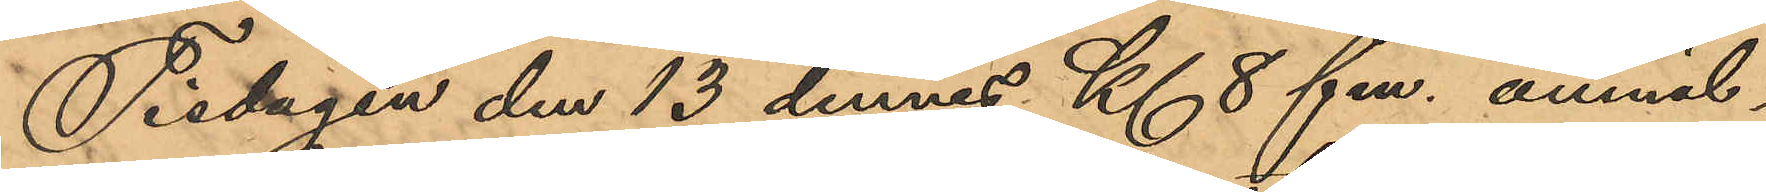Tisdagen den 13 dennes Kl 8 fm. anmäl¬
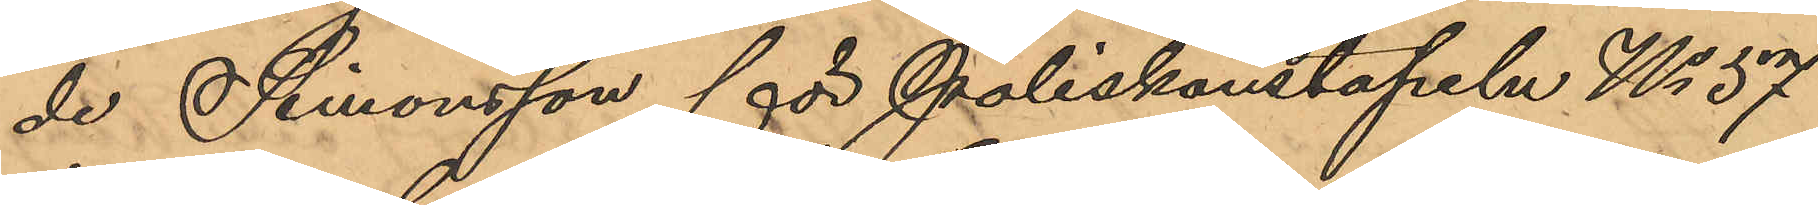de Simonsson för Poliskonstapeln No 57
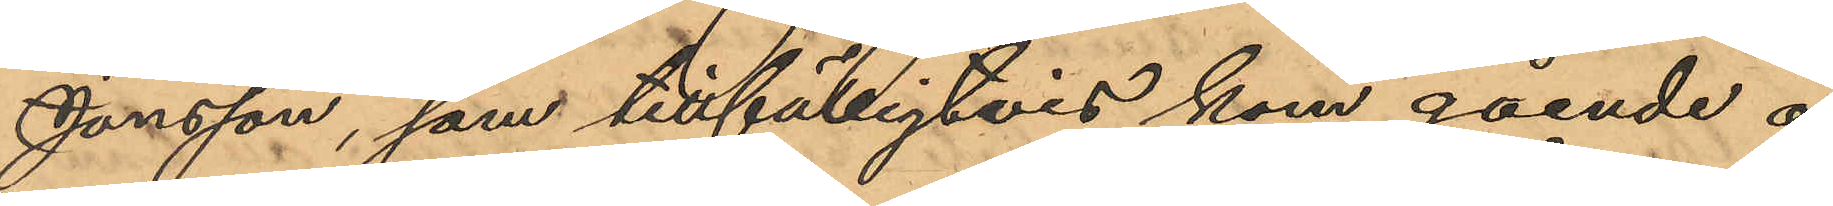Jonsson, som tillfälligtvis kom gående å
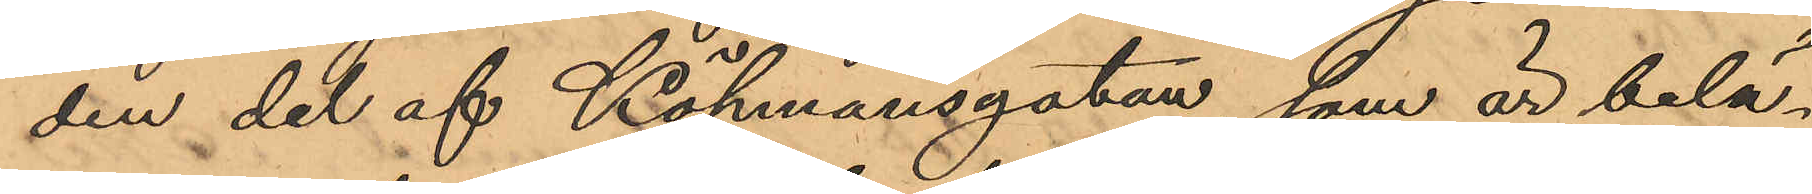den del af Köpmansgatan, som är belä¬
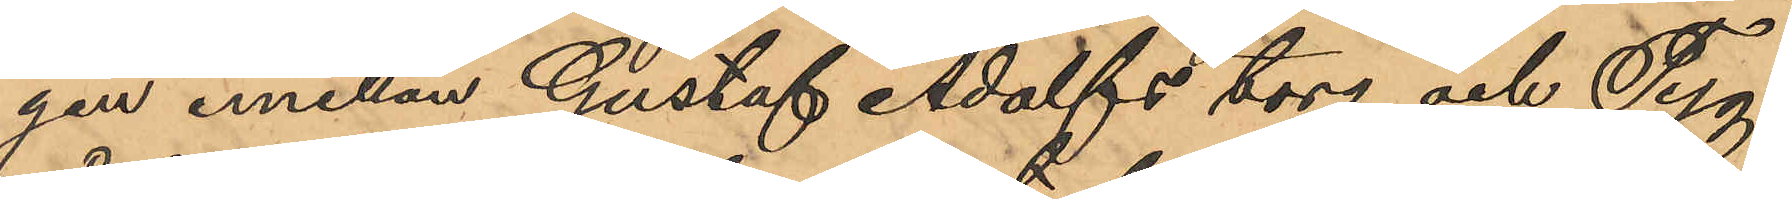gen emellan Gustaf Adolfs torg och Tyg¬
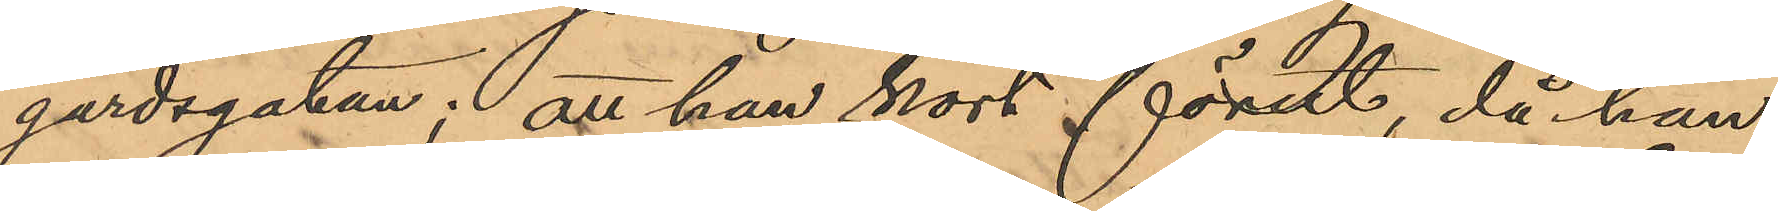gårdsgatan; att han kort förut, då han
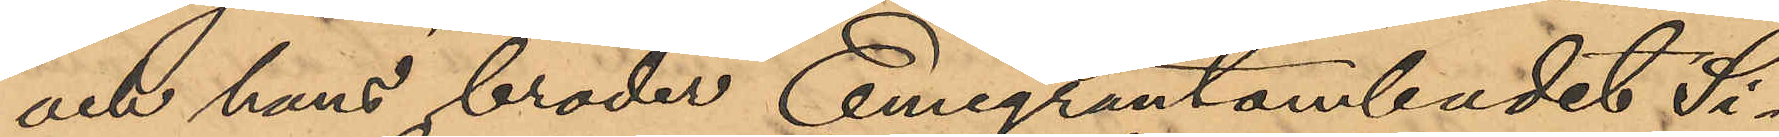och hans broder Emigrantombudet Si¬
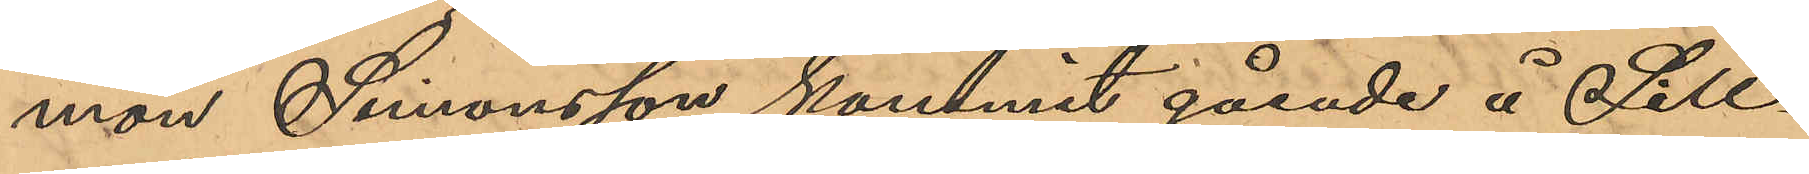mon Simonsson kommit gående å Sill¬
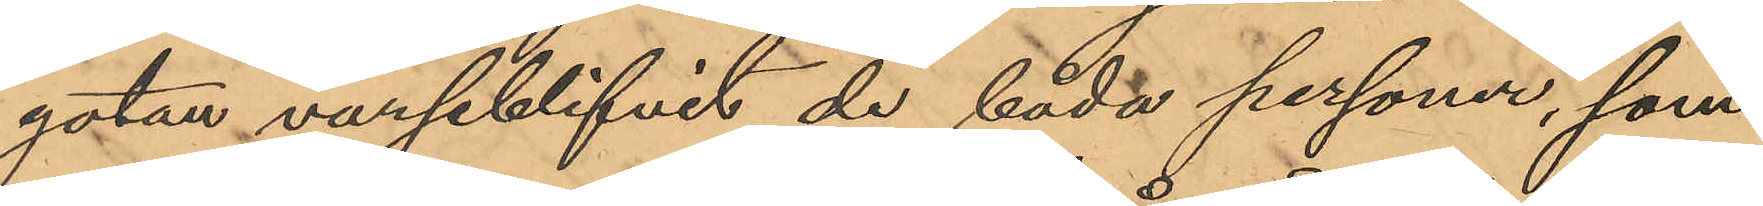gatan varseblifvit de båda personer, som
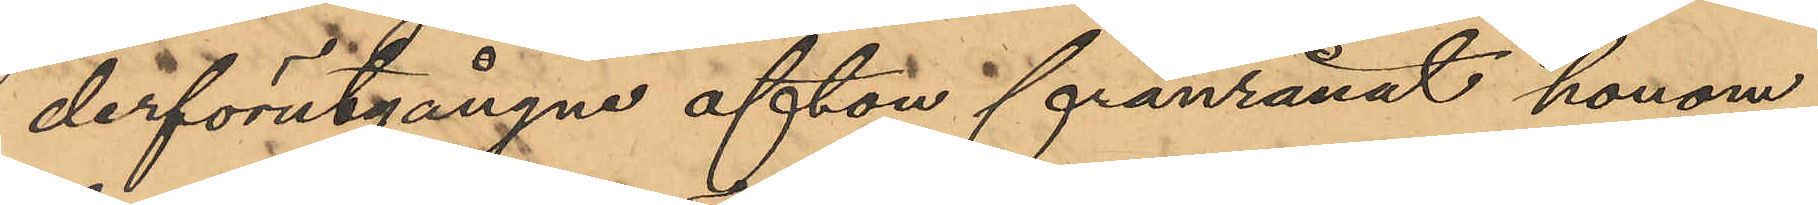derförutgångne afton frånrånat honom
